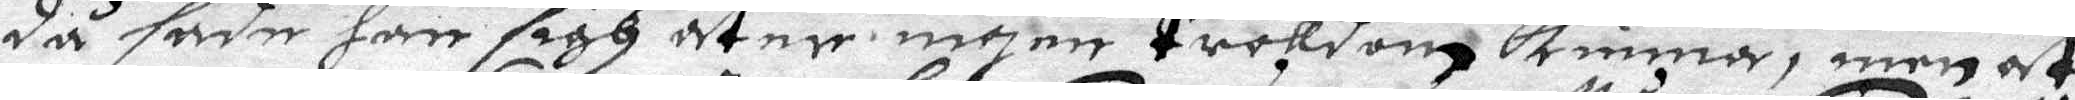då sadhe han sigh åter ingen troldom kunna, men at
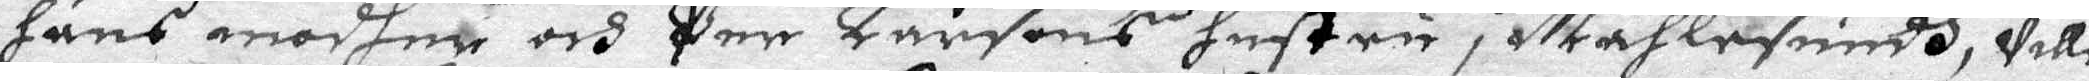hans modher och Per larsons hustru i Måhlesundh, wille
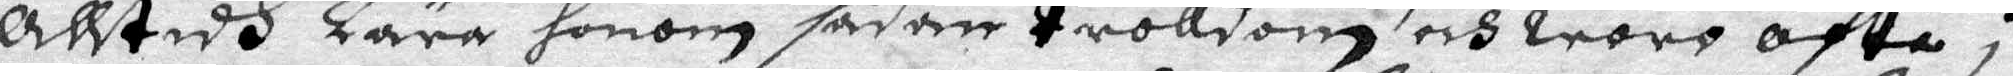Alltid Lära honom sådan trolldom och woro ofta i
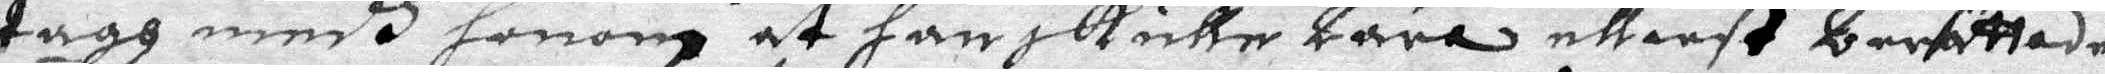tagh medh honom at han skulle Lära elliest berättade
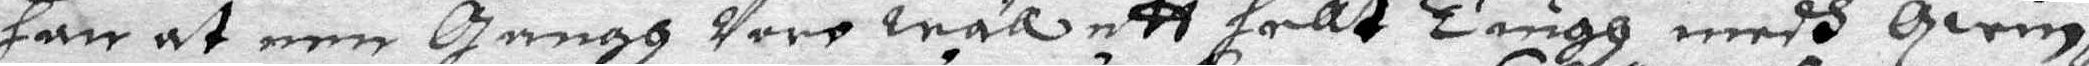han at een gangh Voro wäll ett hellt Tiugh medh qwin¬
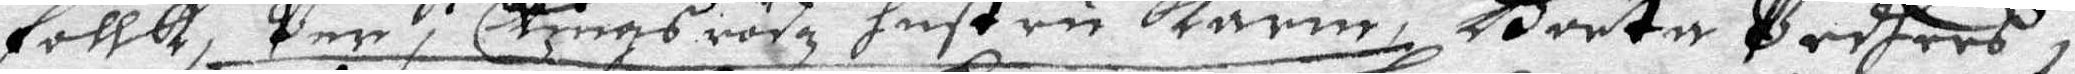follk, Per i Ekingsrödz  hustru Karin, Börta Peders i
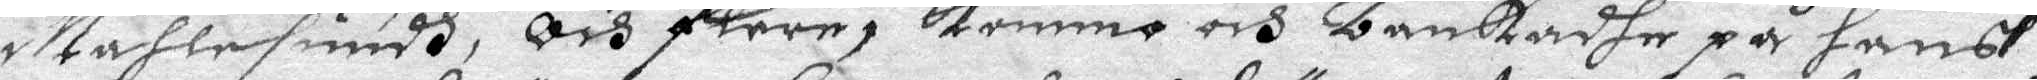Måhlesundh, och flere, kommo och bankadhe på hans
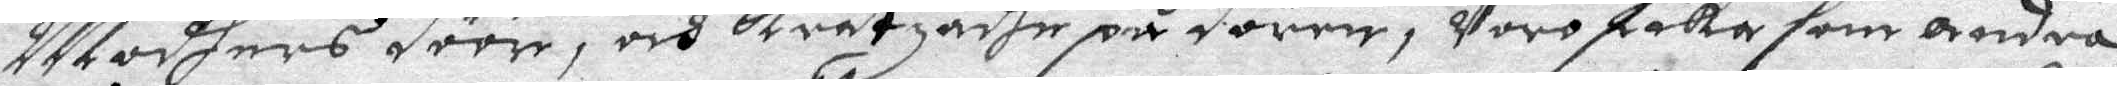Modhers döör, och kratzade på dören, Voro Lika som andra
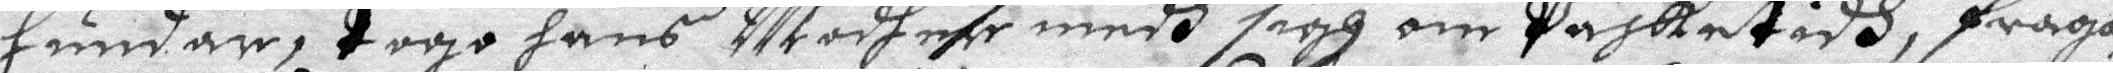hundar, togo hans Modher medh sigh om Påsketidh, fråga¬
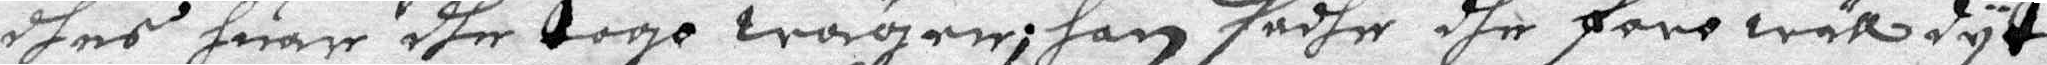dhes huar dhe togo wägen; han sadhe dhe foro wäll dyt
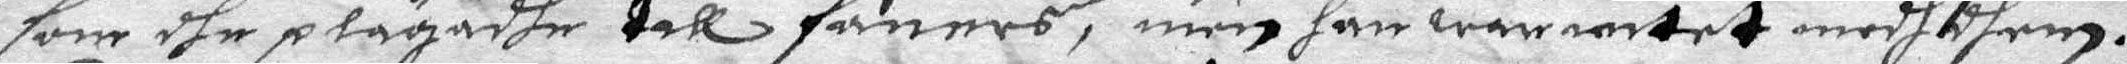som dhe plägadhe till faners, men han war intet medh dhem.
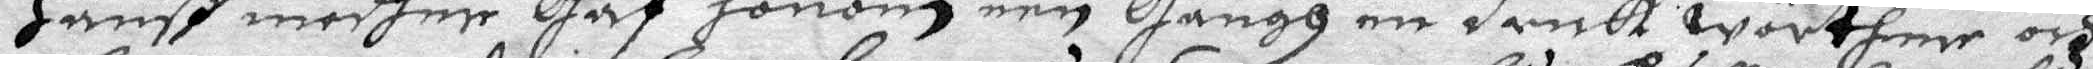Hanß modher gaf honom een gångh en drick wörther och
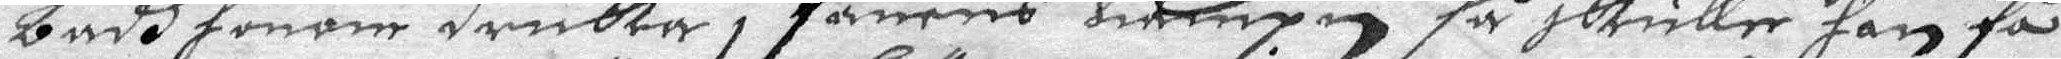badh honom dricka i fanens nampn så skulle han få
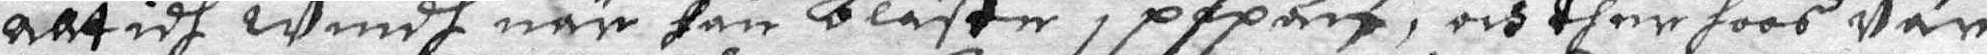alltidh windh när han bläste i pipan, och ther hooa Var
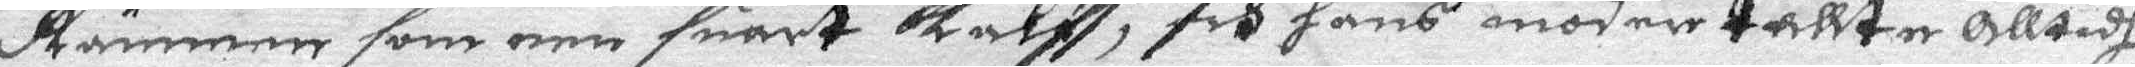Rännen som een suart kalf, och hans modher tallte alltidh
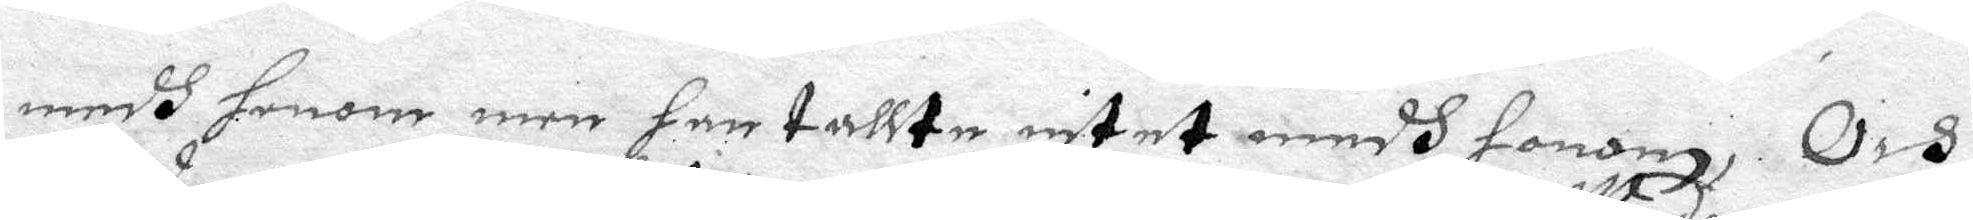medh honom men han tallte intet medh honom,Och
